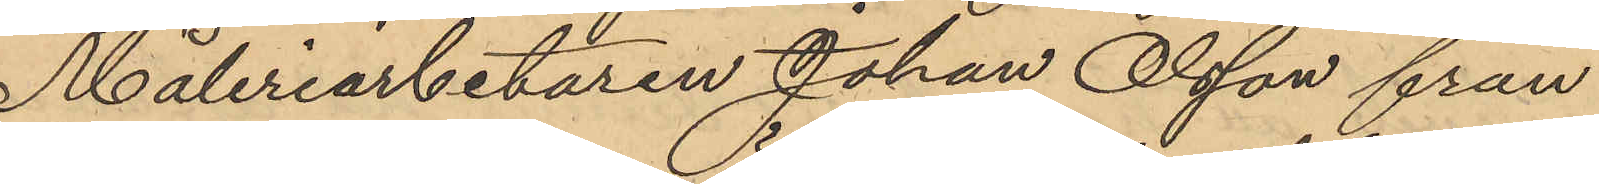Måleriarbetaren Johan Olsson från
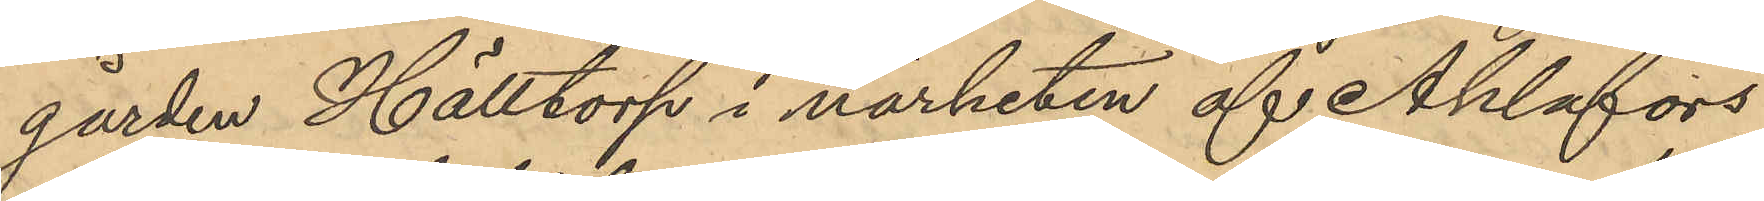gården Hälltorp i närheten af Ahlafors
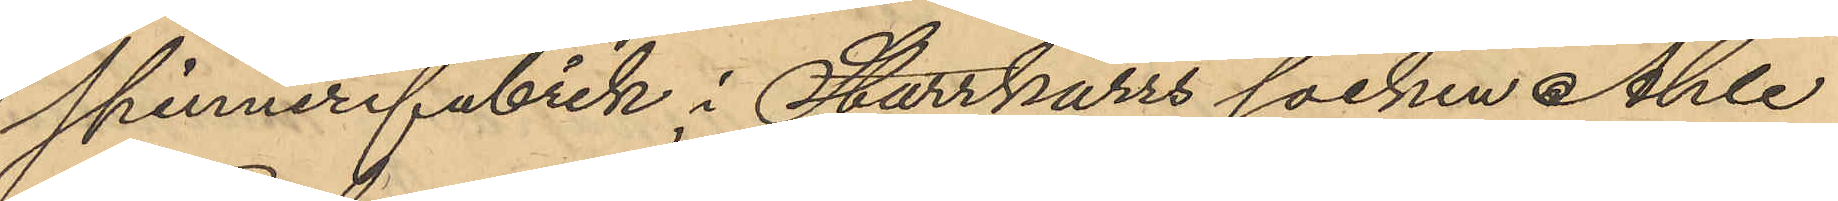Skinnerifabrik i Starrkärrs socken Ahle
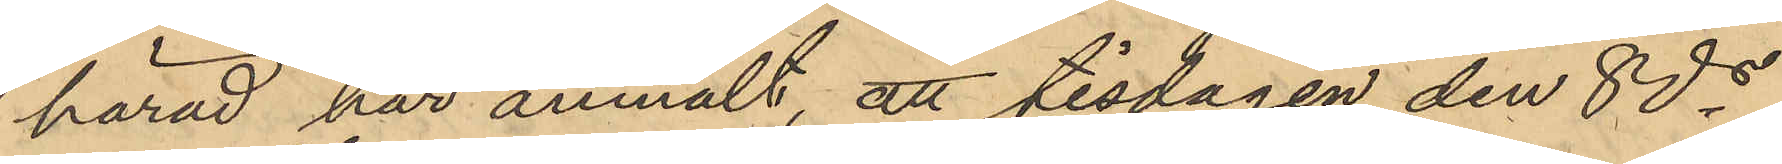härad har anmält, att tisdagen den 8 ds
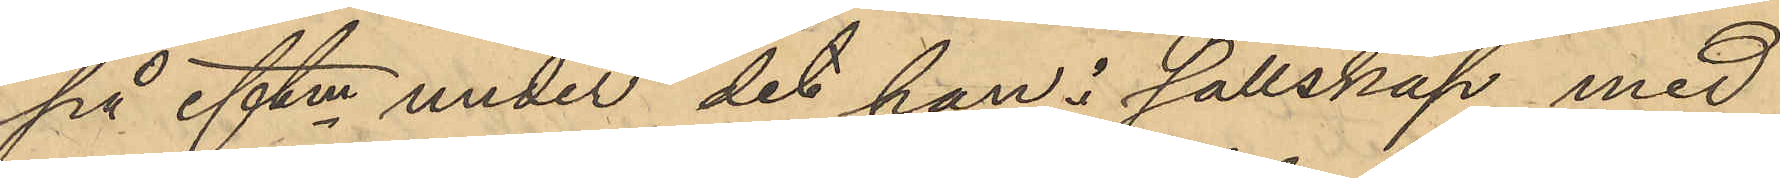på eftm under det han i sällskap med
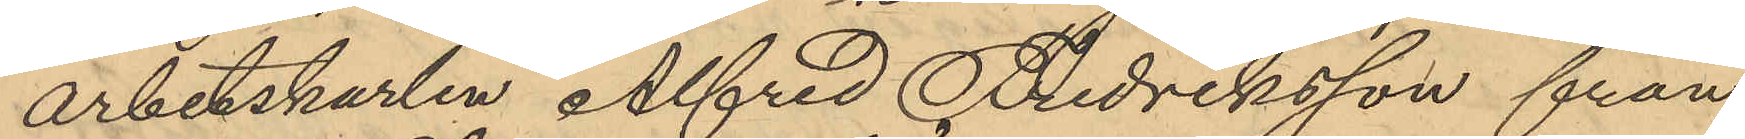arbetskarlen Alfred Fredriksson från
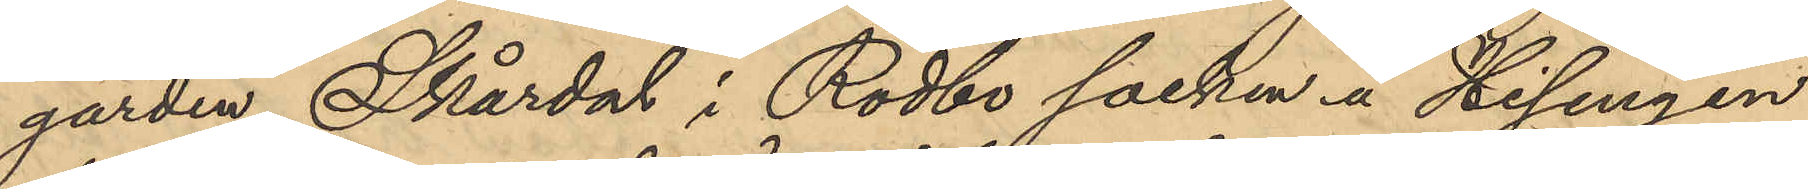gården Skärdal i Rödbo socken å Hisingen
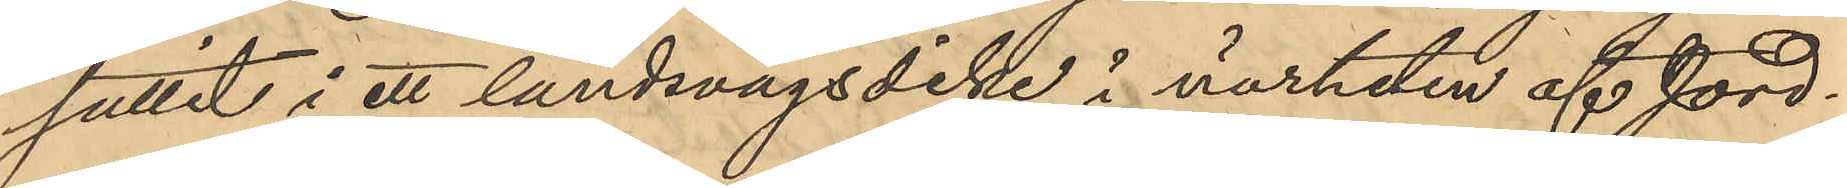suttit i ett landsvägsdike i närheten af Jord¬
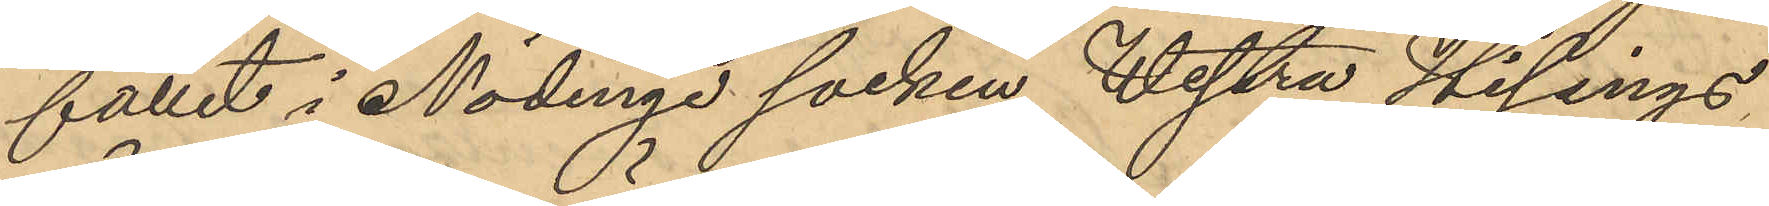fallet i Nödinge socken Westra Hisings 
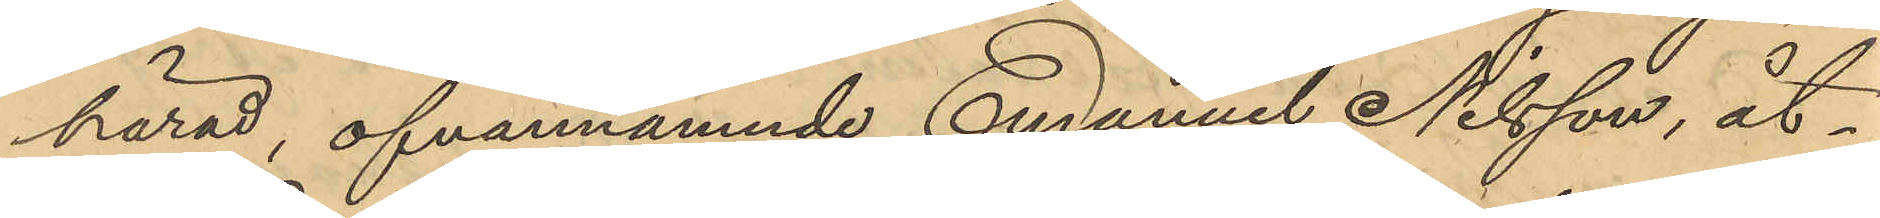härad, ofvannämnde Emanuel Nilsson, åt¬
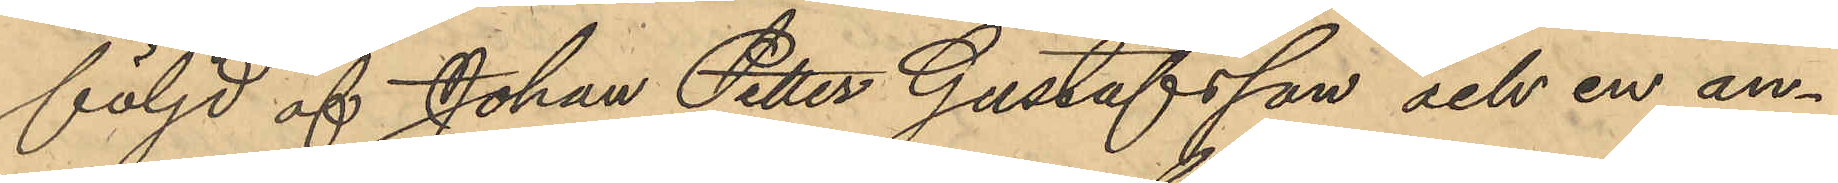följd af Johan Petter Gustafsson och en an¬
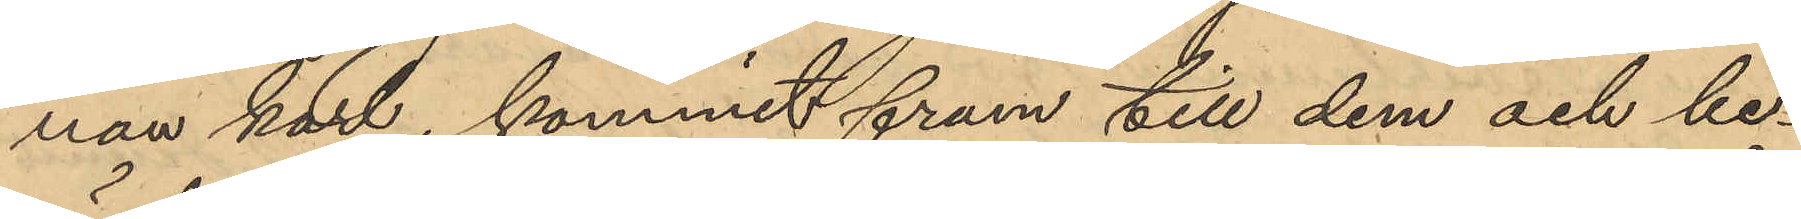nan karl, kommit fram till dem och be¬
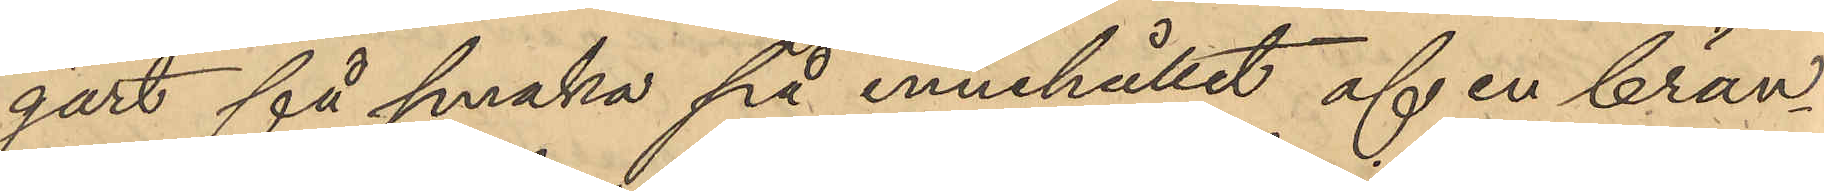gärt få smaka på innehållet af en brän¬
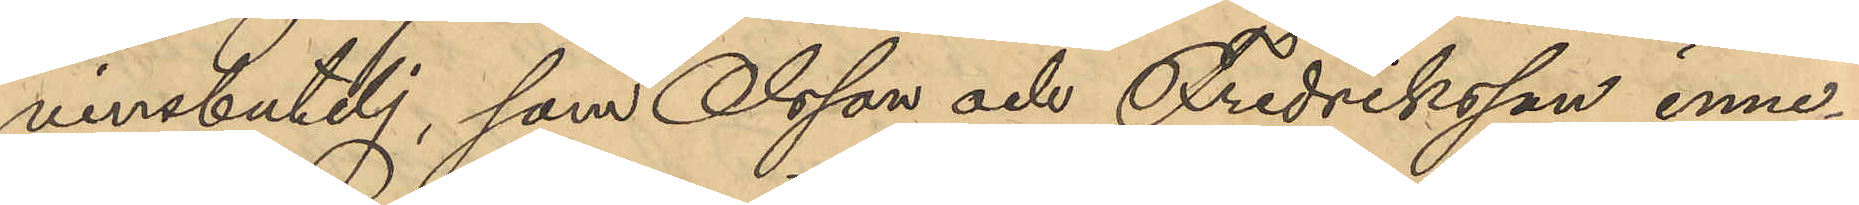vinsbutelj, som Olsson och Fredriksson inne¬
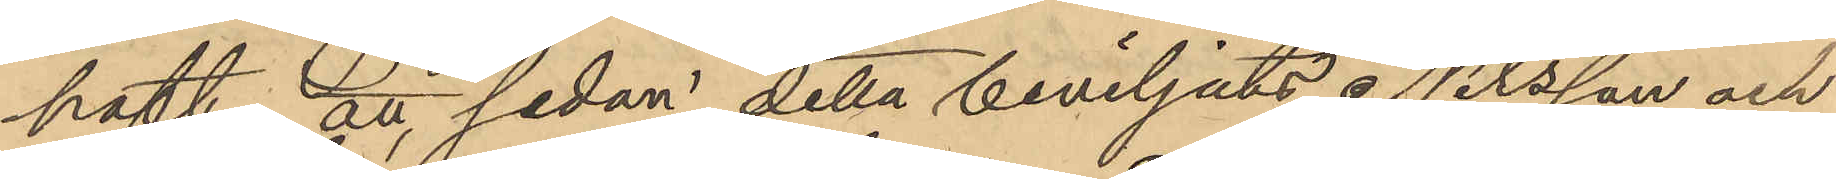haft; att sedan detta beviljats, Nilsson och
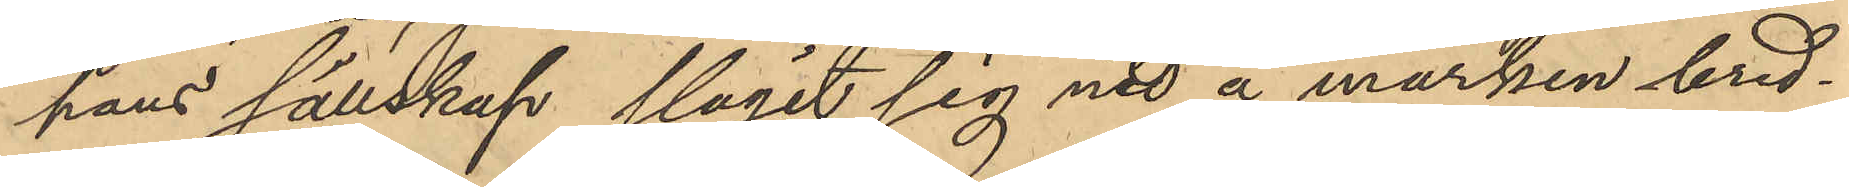hans sällskap slagit sig ned å marken bred¬
